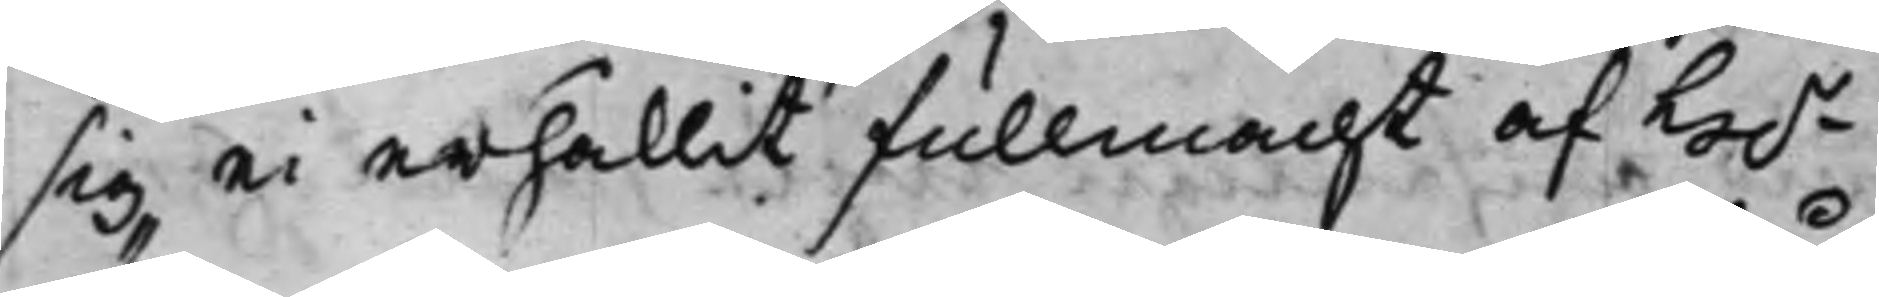sig ei erhållit fullmacht af H.r
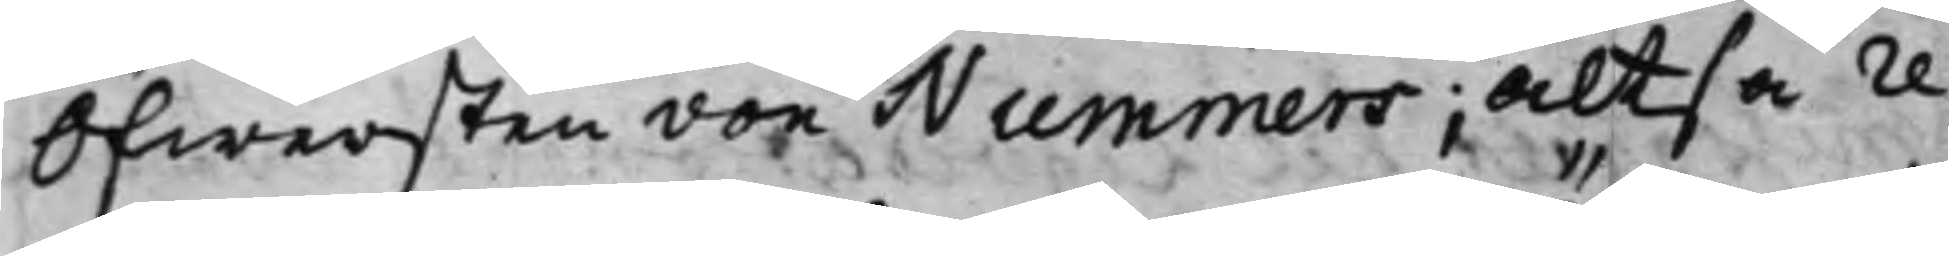Öfwersten von Nummers; Altså re¬
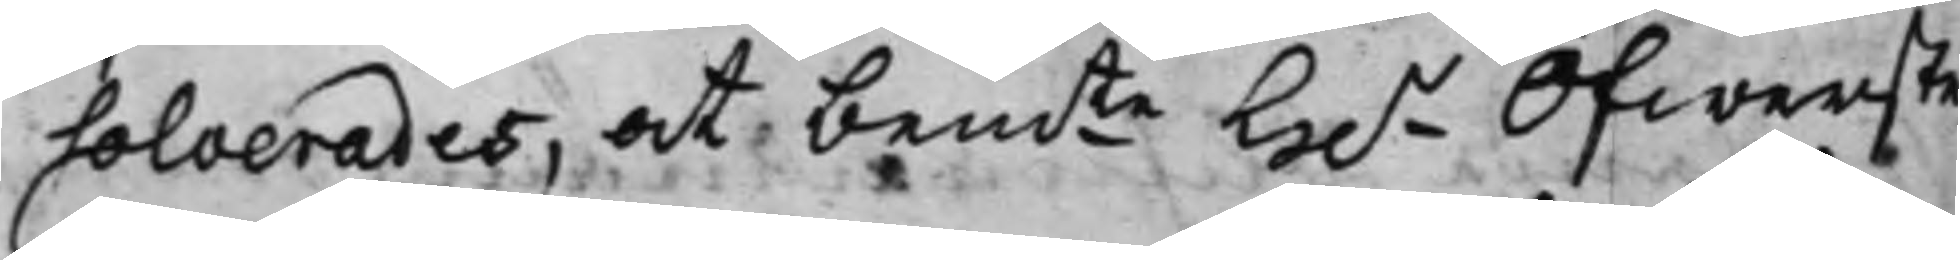solverades, at bemte H.r Öfwerste
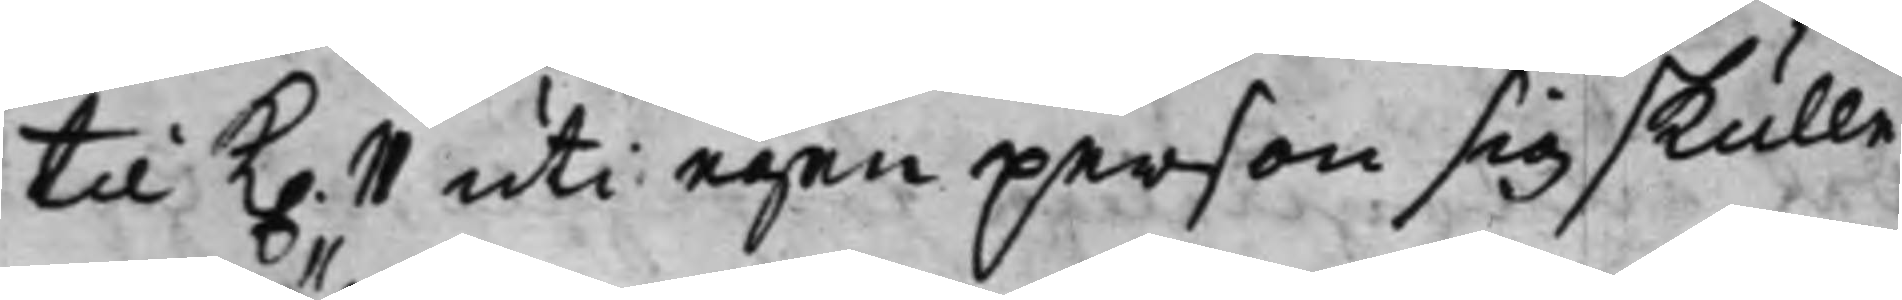till K. 11 uti egen person sig skulle 
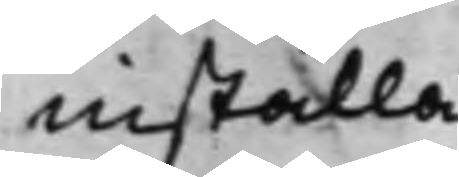inställa.
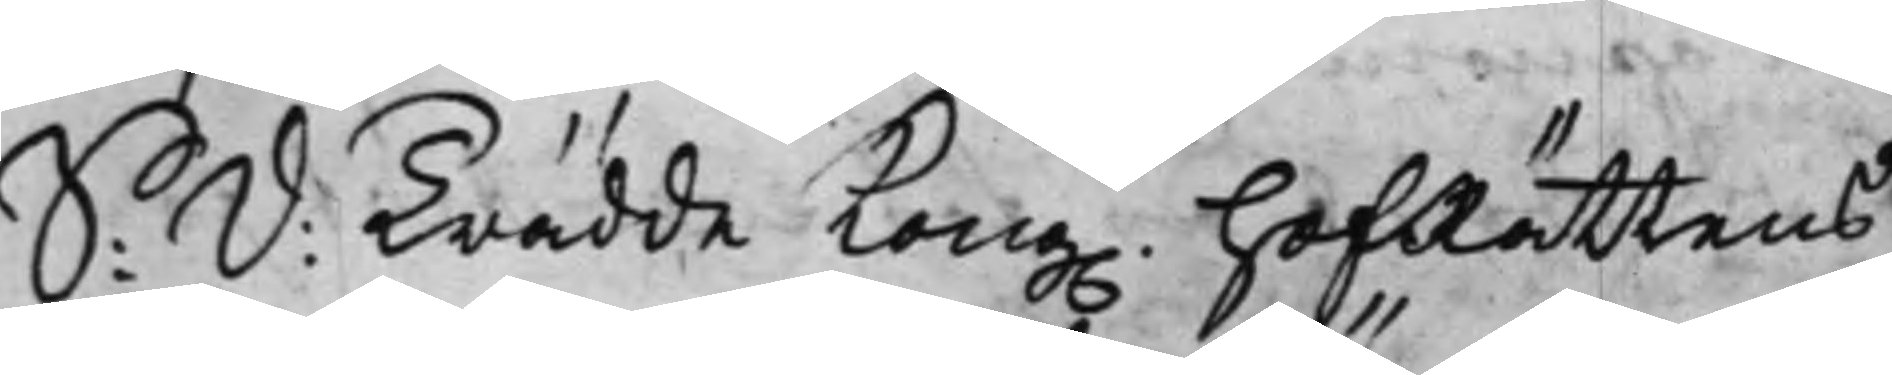S: d: Trädde Kong. hofRättens
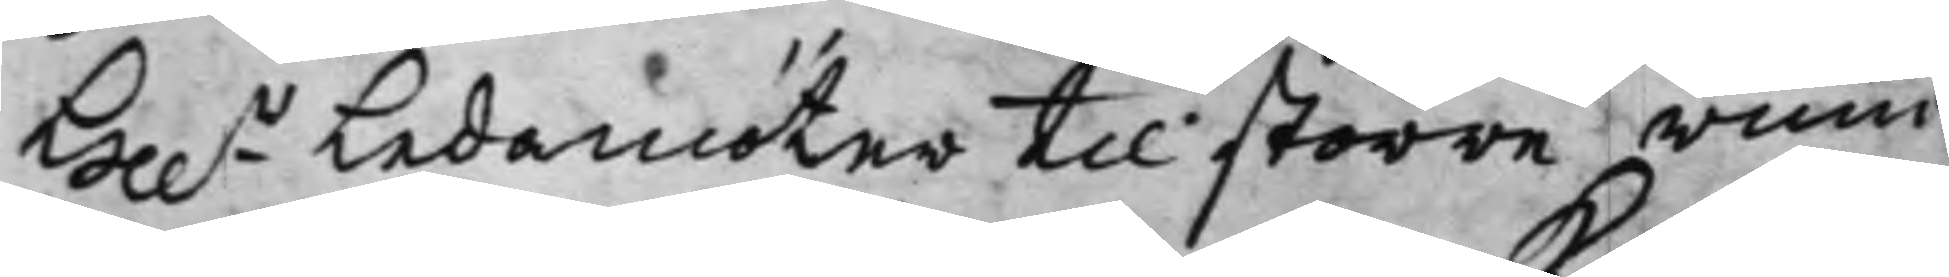Hh.r Ledamöter till större rum¬
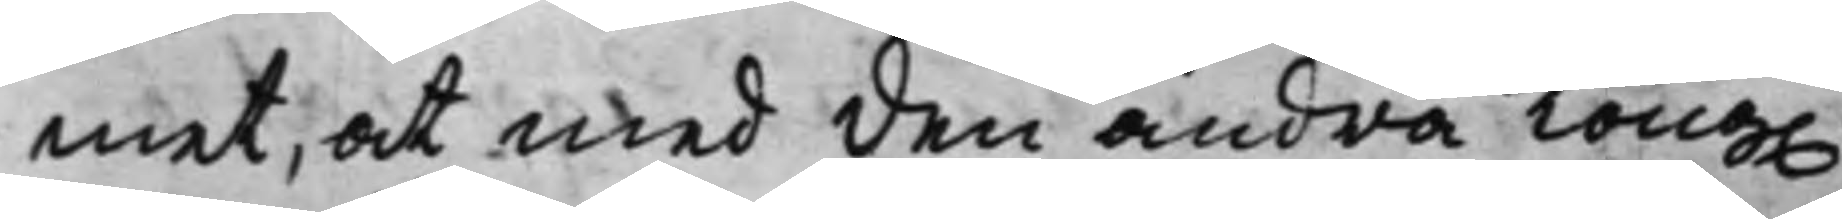met, at med den andra Kong.
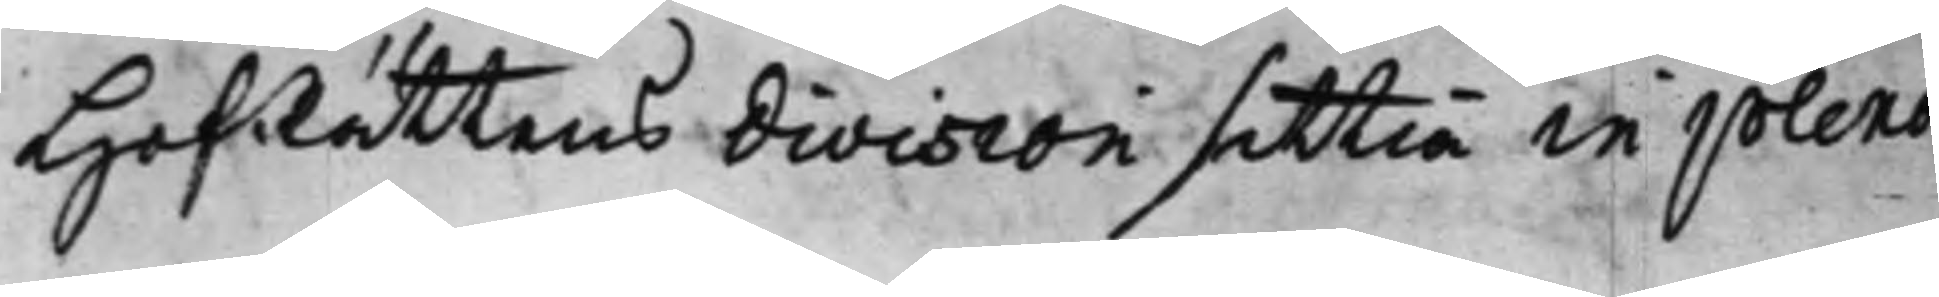HofRättens division sittia in pleno
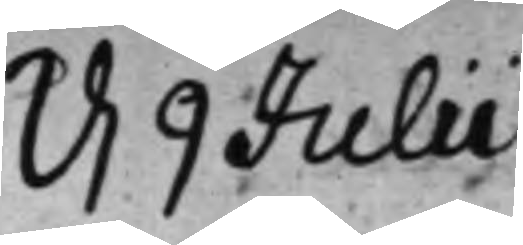d. 9 Julii 
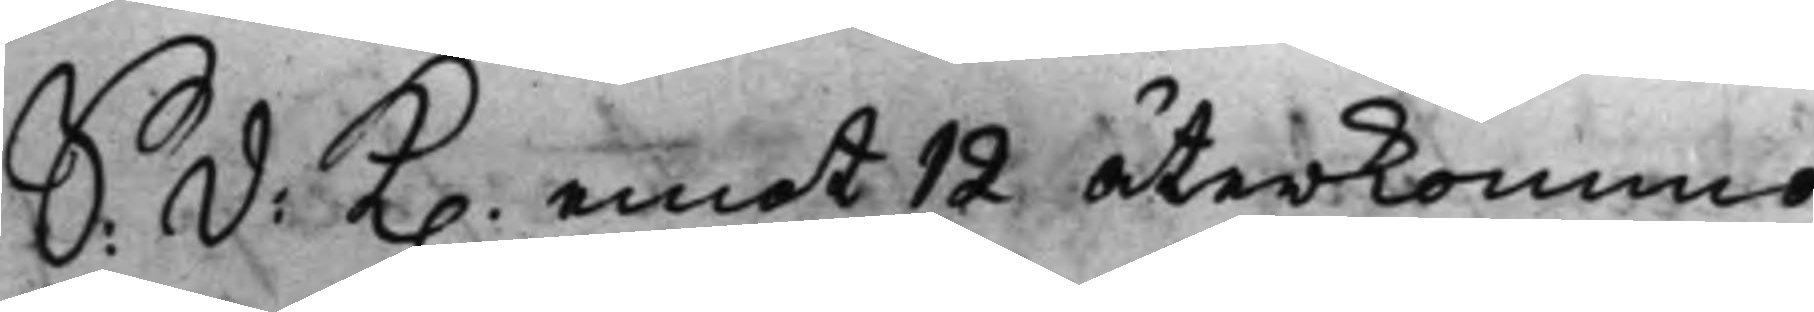S: d: K. emot 12 återkommo
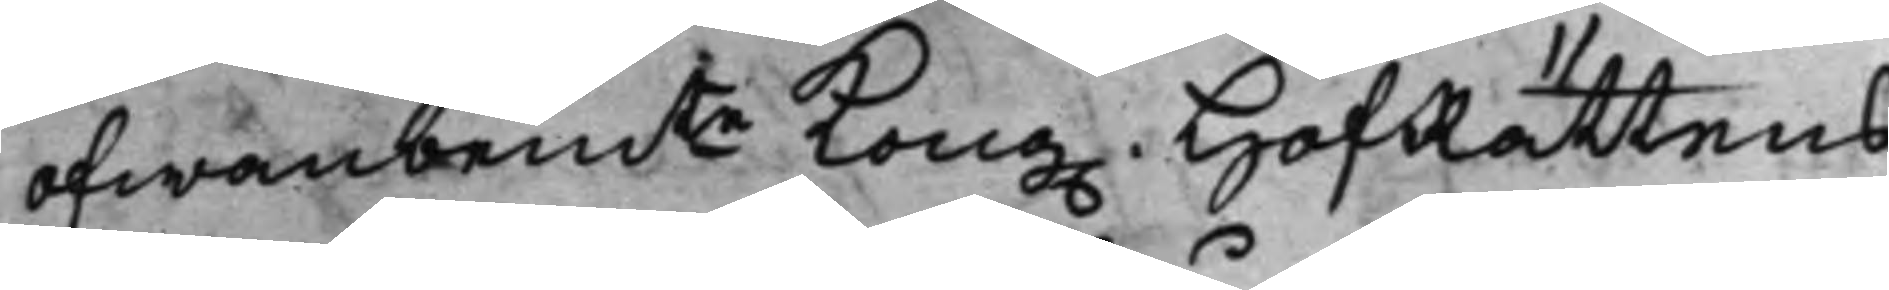ofwanbemte Kong. HofRättens
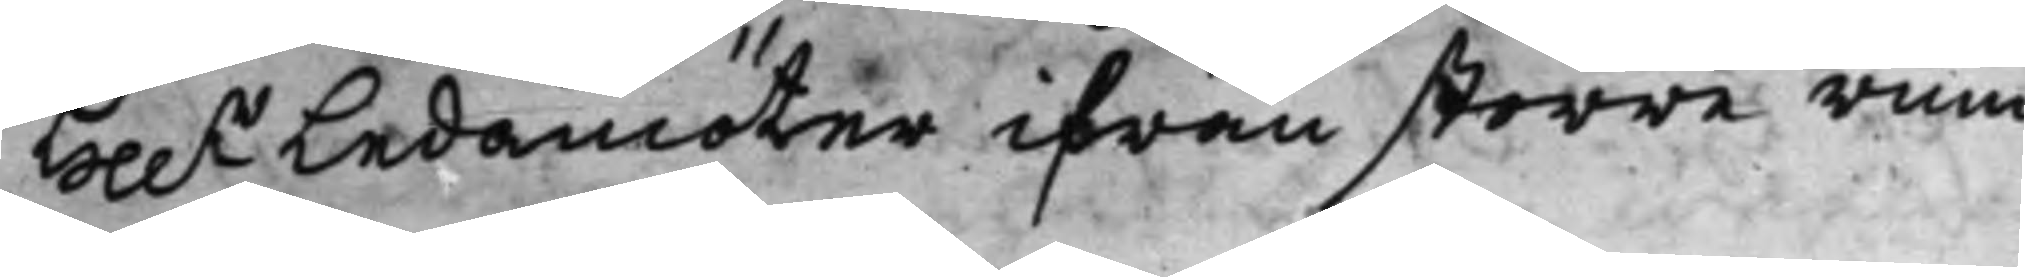Hh.r Ledamöter ifrån större rum¬
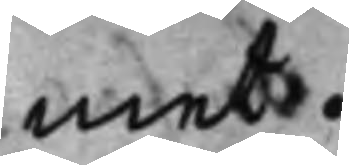met.
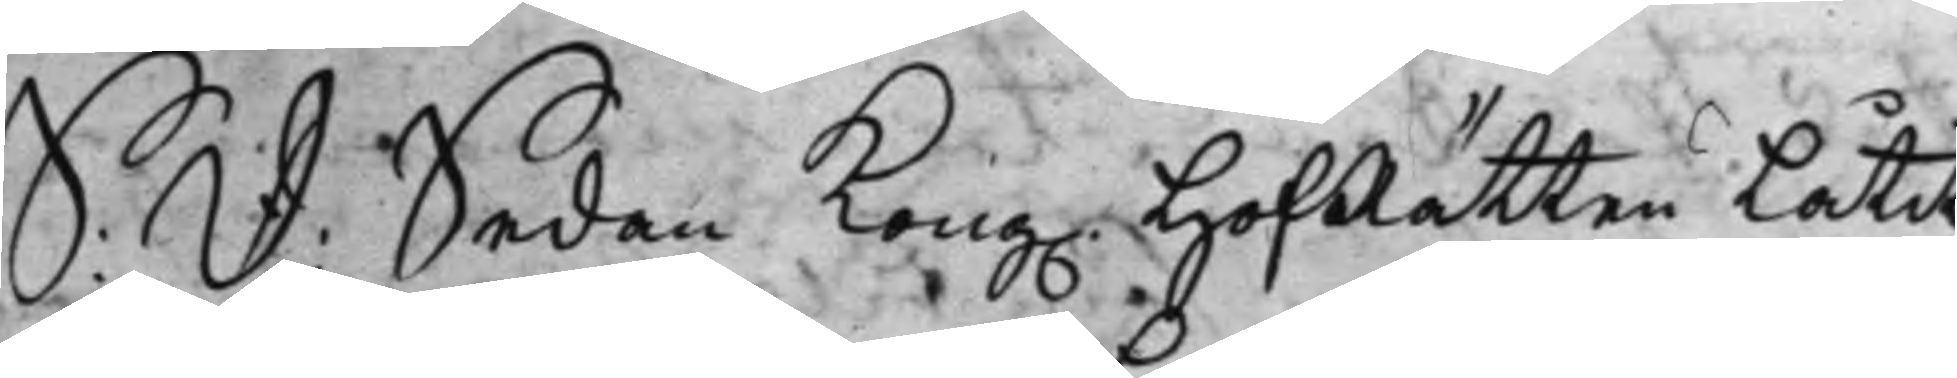S: d: Sedan Kong. HofRätten Låtit
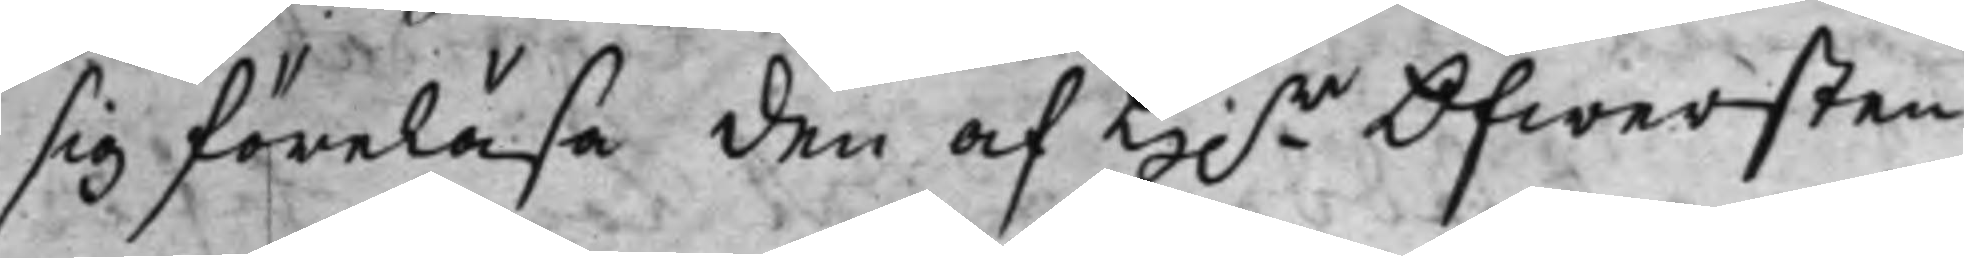sig föreläsa den af H:r Öfwersten 
